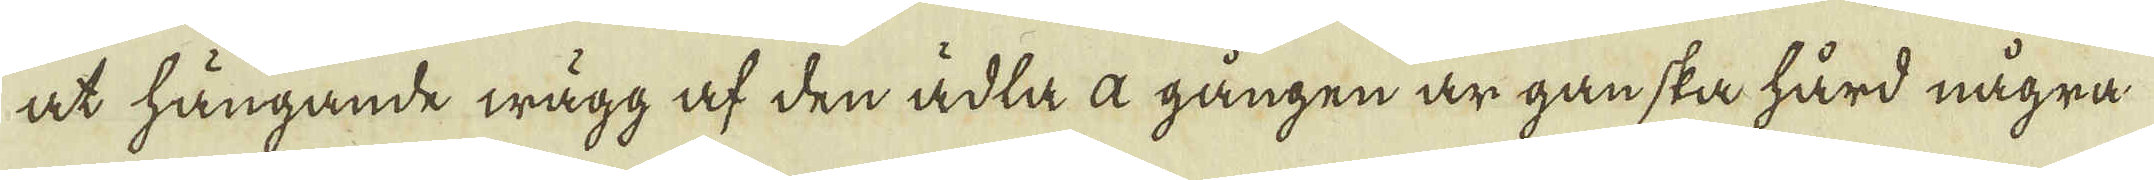at hängande wägg af den ädla a gången är ganska hård några
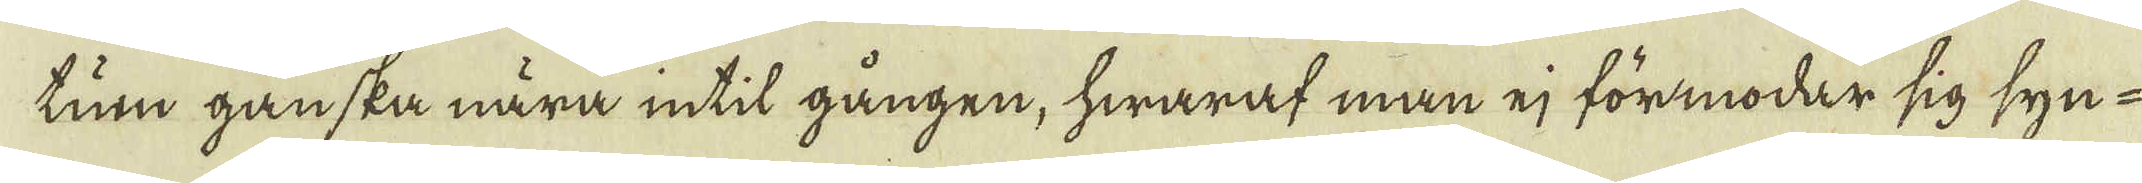tum ganska nära intil gången, hwaraf man ej förmodar sig syn-
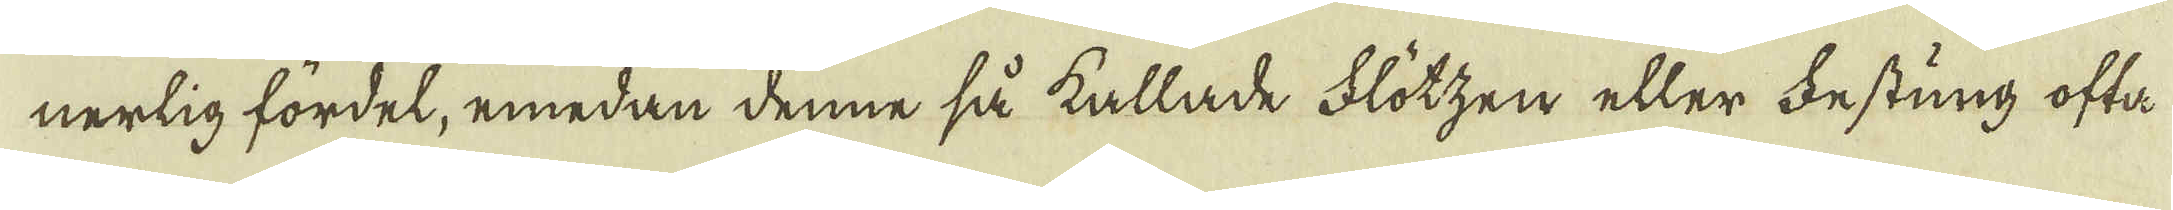nerlig fördel, emedan denne så kallade Flötzen eller festung ofta
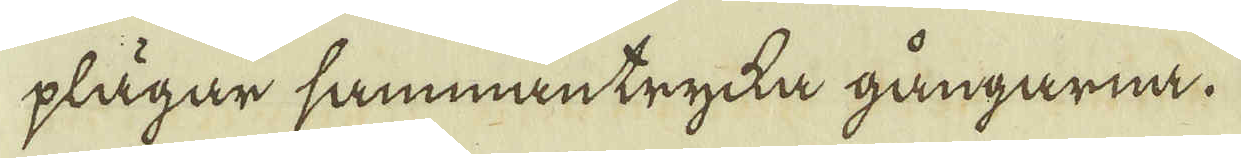plägar sammantrycka gångarna.
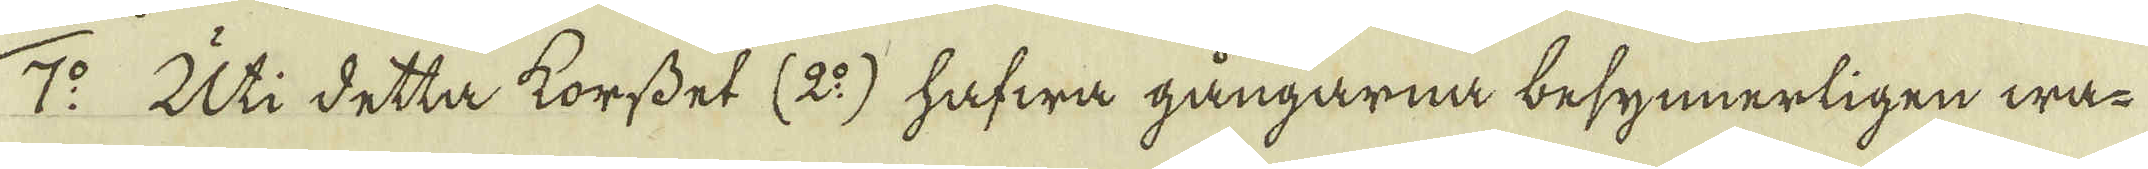7:o Uti detta korsset (2:o) hafwa gångarna besynnerligen wa-
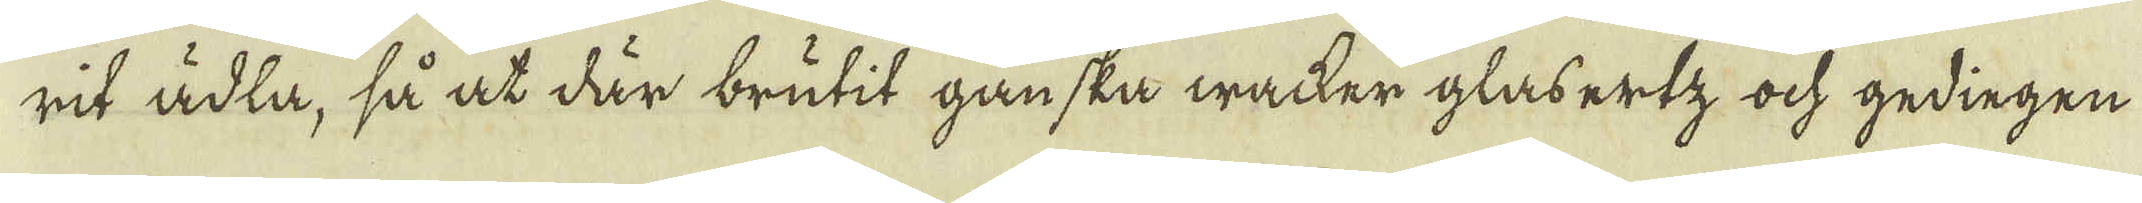rit ädla, så at där brutit ganska wacker glabertz ock gedingen
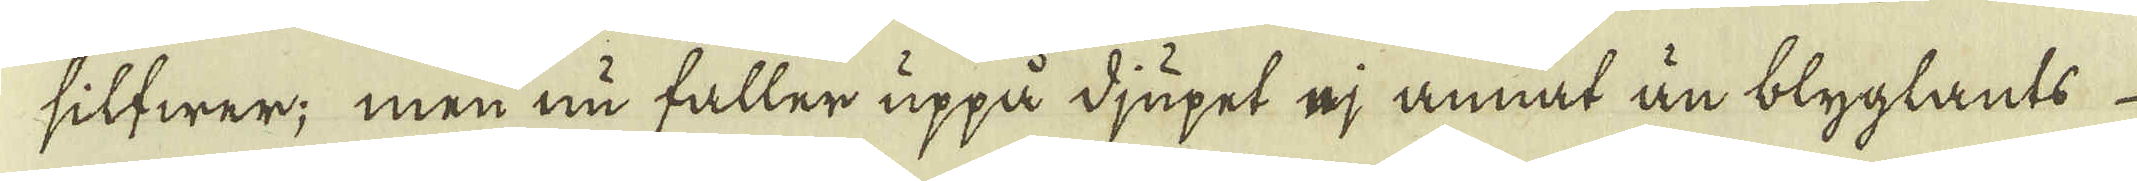silfwer; men nu faller uppå djupet ej annat än blyglants
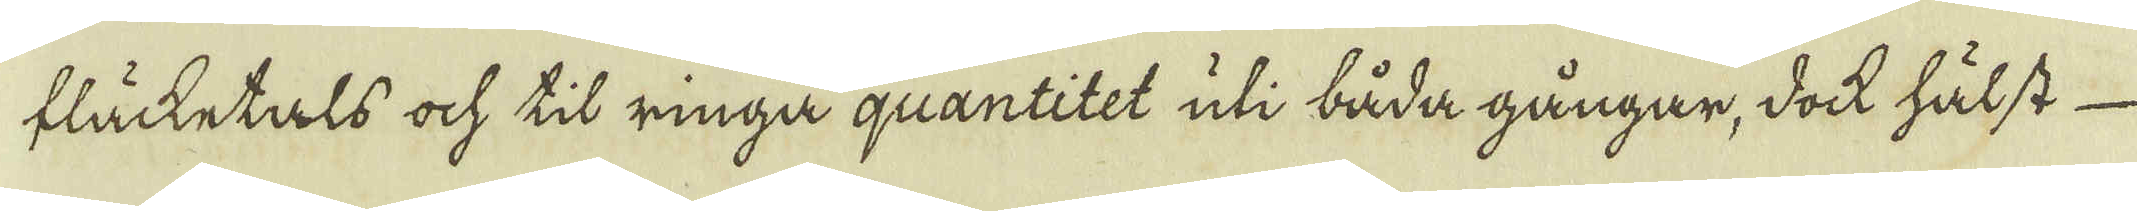fläcketals ock til ringa quantitet uti båda gångar, dock hälst
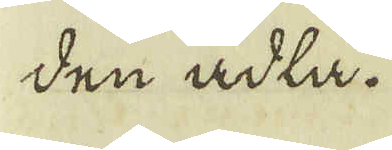den ädla.
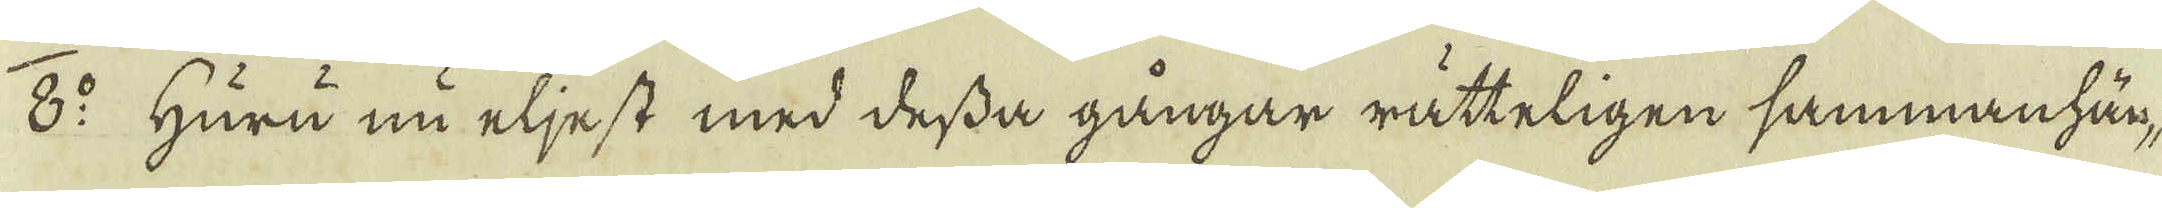8:o Huru nu eljest med dessa gångar rätteligen sammanhän-
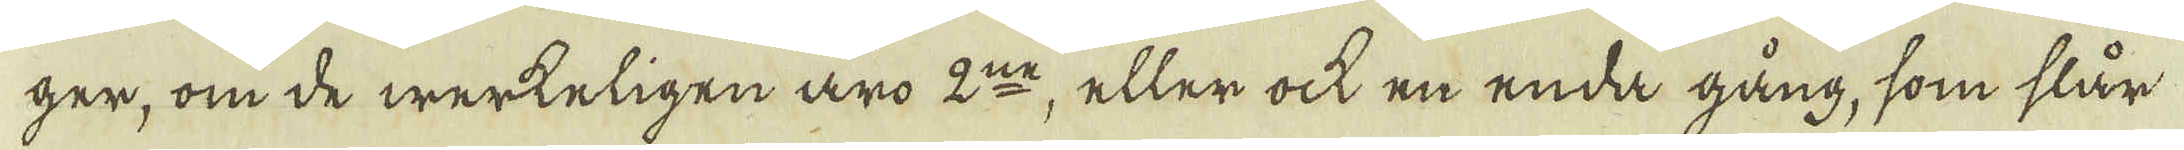ger, om de werkeligen äro 2:ne, eller ock en enda gång, som slår
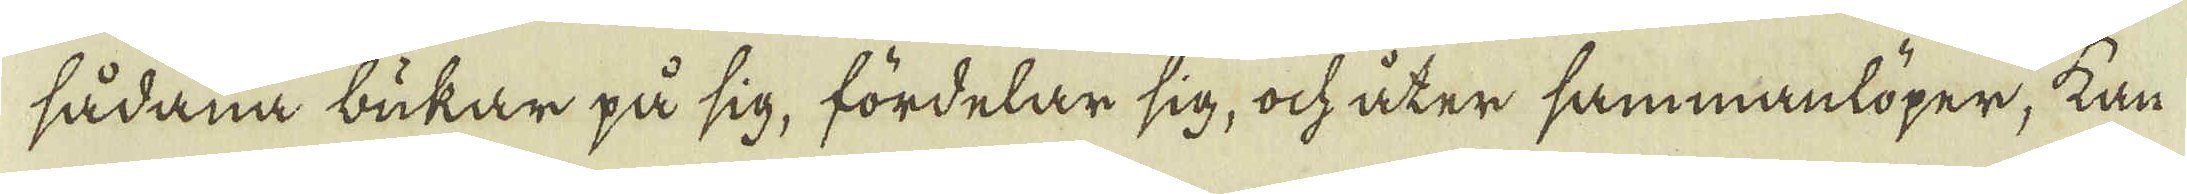sådana bukar på sig, fördelar sig, ock åter sammanlöper, kan
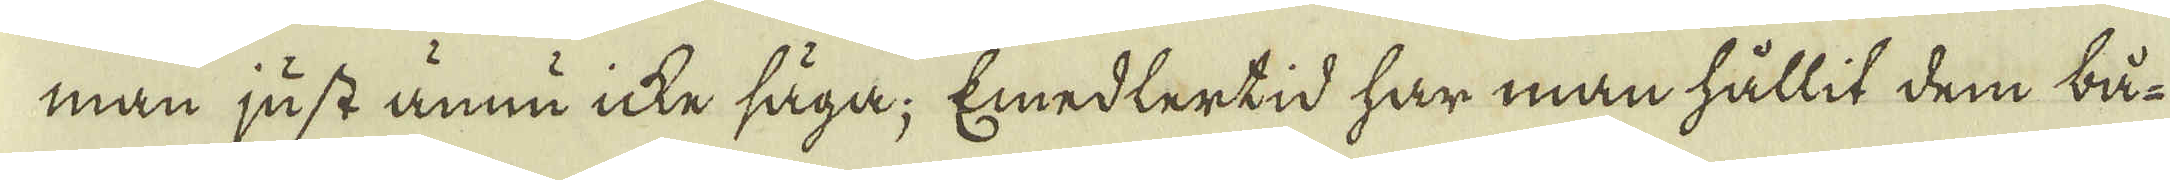man just ännu icke säga; Emedlertid har man hållit dem bå-
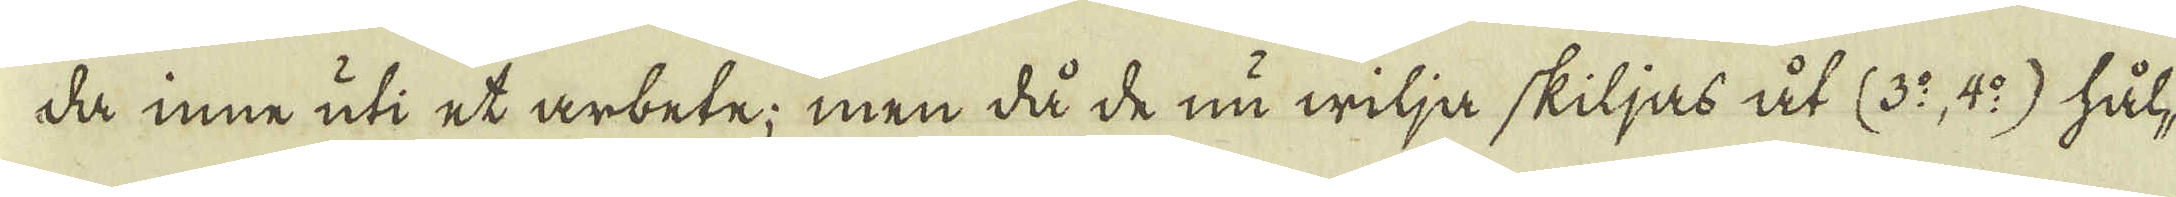da inne uti et arbete; men då de nu wilja skiljas åt (3:o, 4:o) hål-
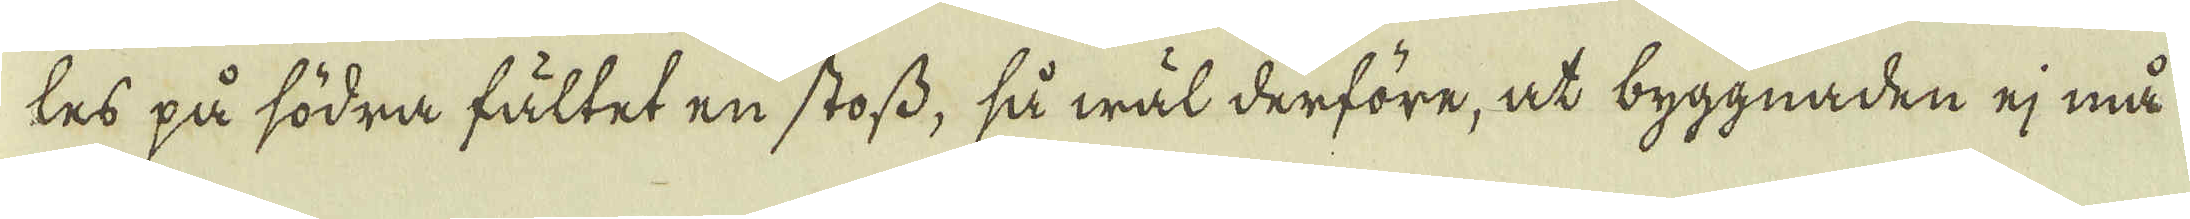les på södra fältet en stoss, så wäl derföre, at byggnaden ej må
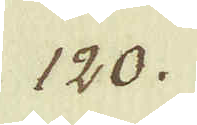120.
